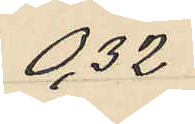0,32
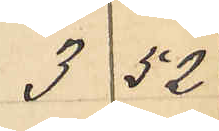3 52
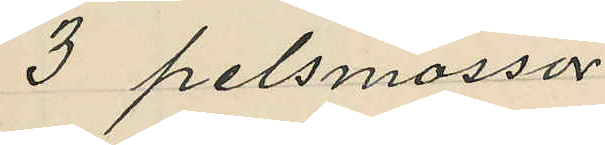3 pelsmössor
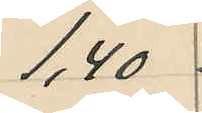1,40
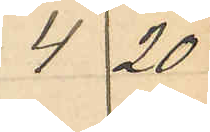4 20
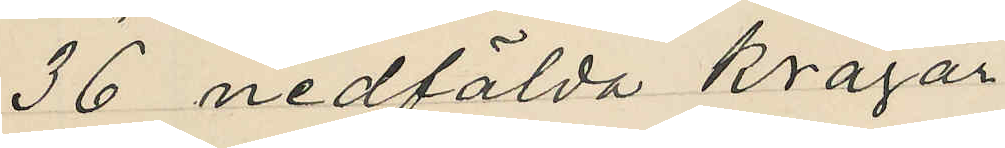36 nedfälda kragar
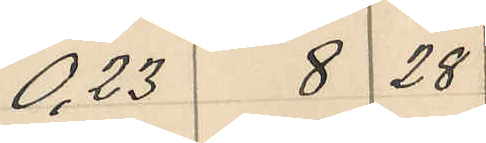0,23 8 28
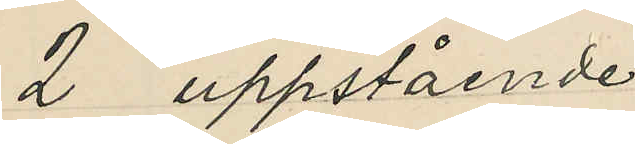2 uppstående
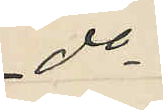do
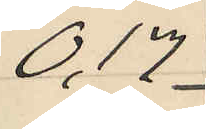0,17
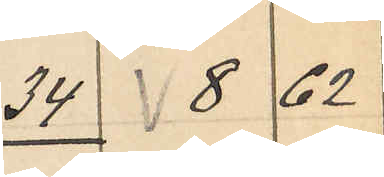34 8 62
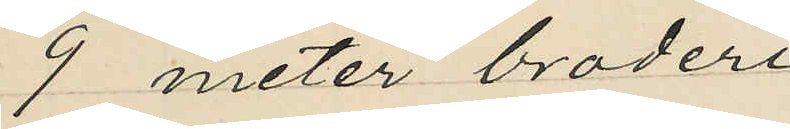9 meter broderi
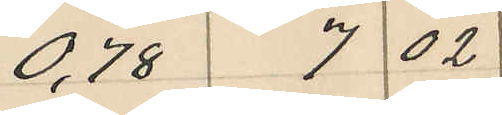0,78 7 02
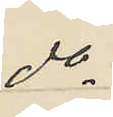do
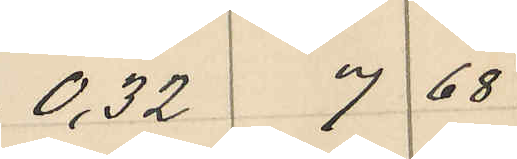0,32 7 68
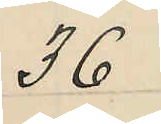36
